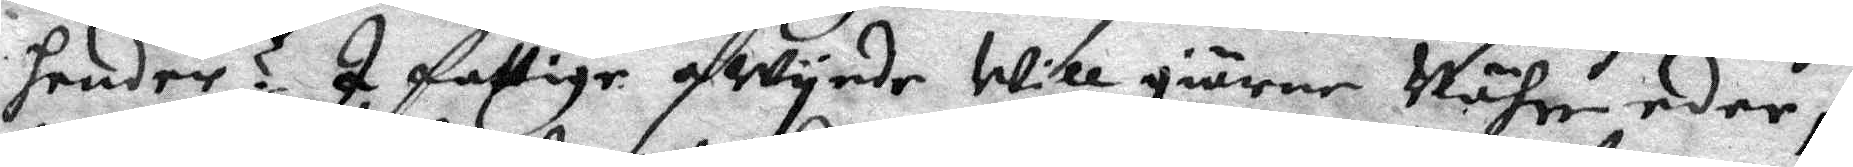hender? I fattige qwynde will giärne Währe eder,
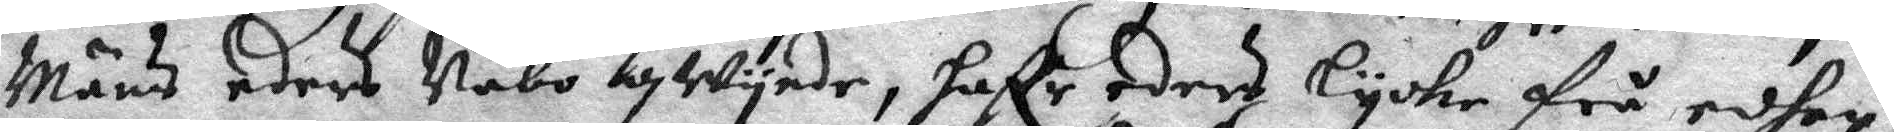Mäns eders Nabo qwynde, haffr eders lycke frå edher,
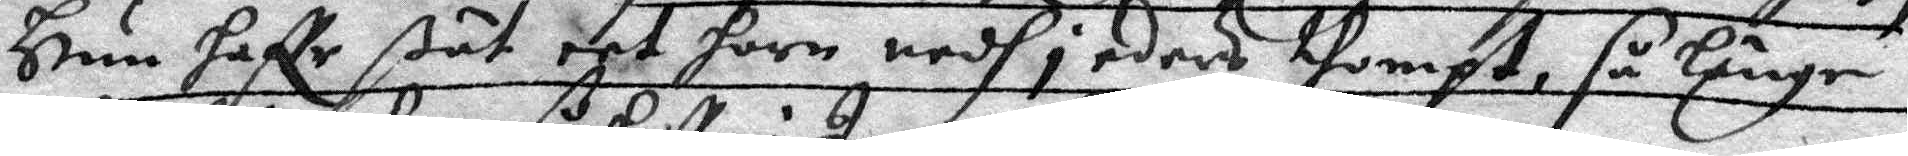Hun haffr ßät eet horn nedh i eders thompt, så länge
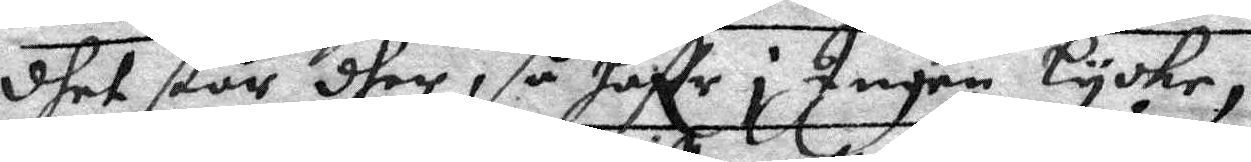dhet står dher, så haffr i Ingen Lycke,
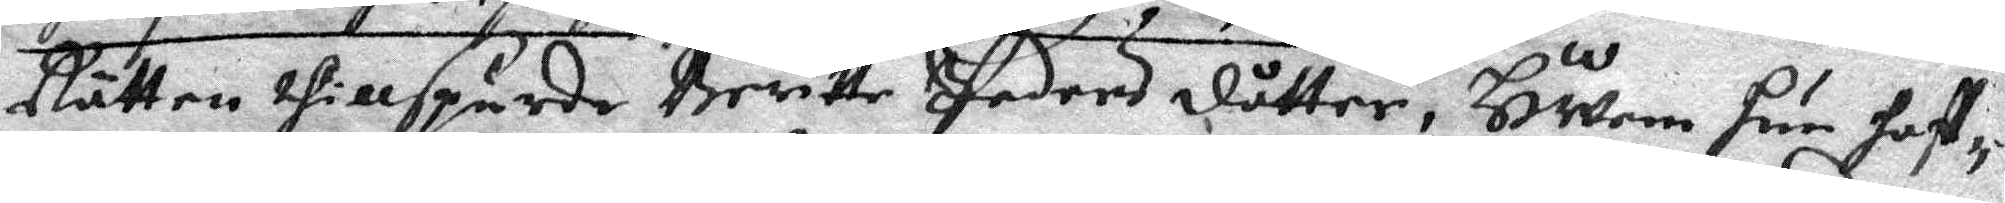Rätten thillspurde Britte Peders dåtter, HWem hun haff¬
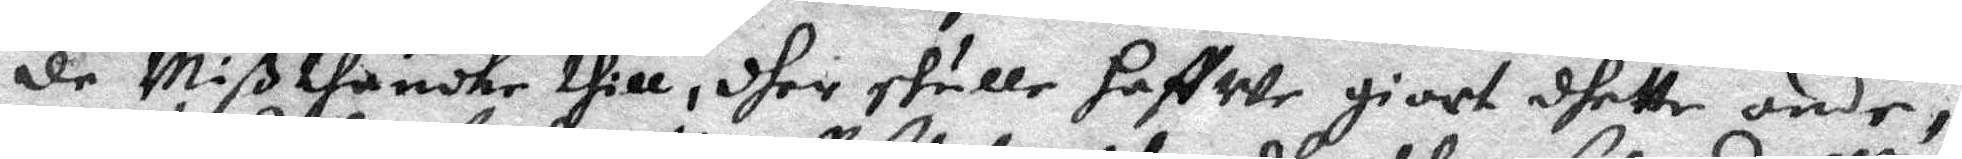de Mißthancke thill, dher skulle haffwe giort dhette onde,
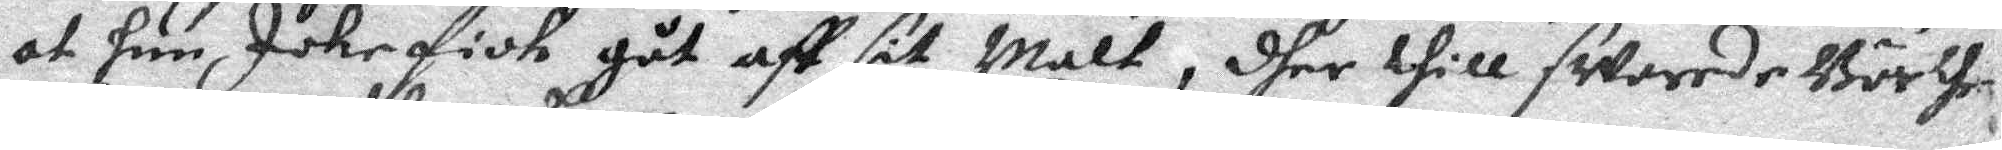at hun Icke fick gåt aff sit Malt, dher thill swarade Börthe 
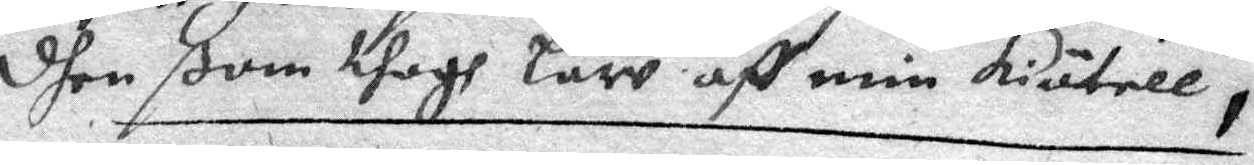dhen som togh Law aff min kiätell,
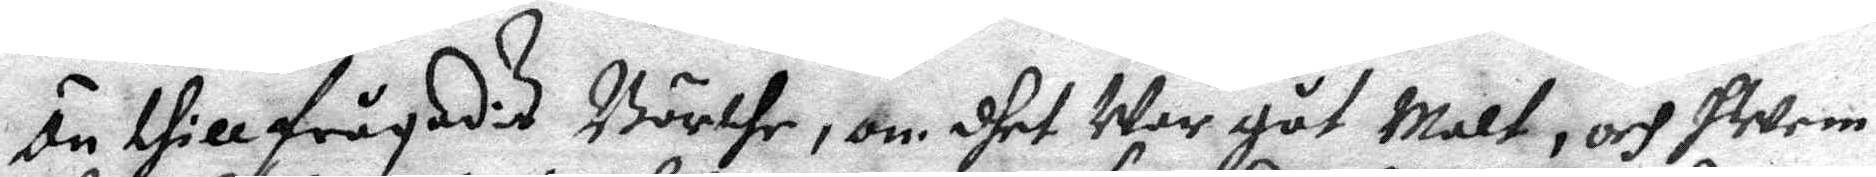än tillfrågadis Börthe, om dhet war gåt Malt, och hwem
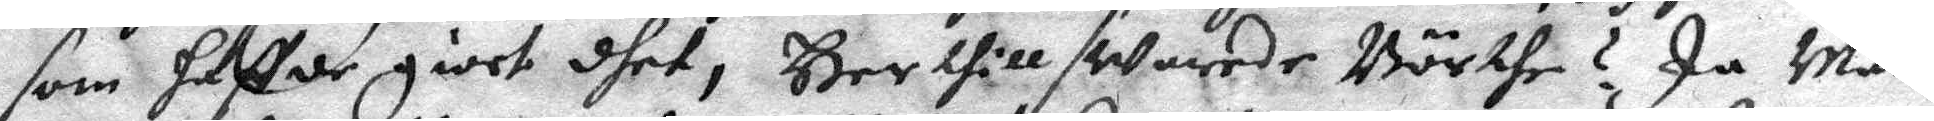som haffde giort dhet, Hertill swarade Börthe? Ja Män
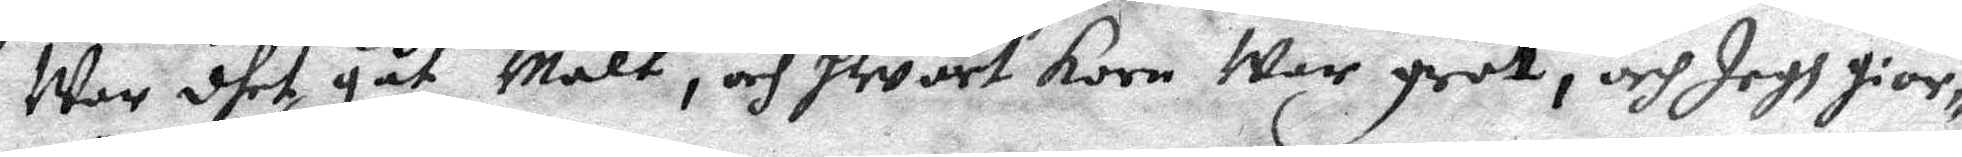War dhet gåt Malt, och hwärt korn War grot, och Jagh gior¬
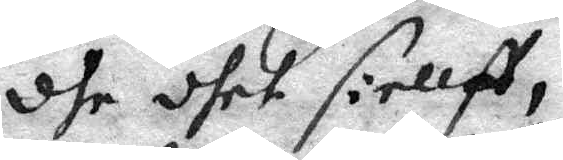dhe dhet siellff,
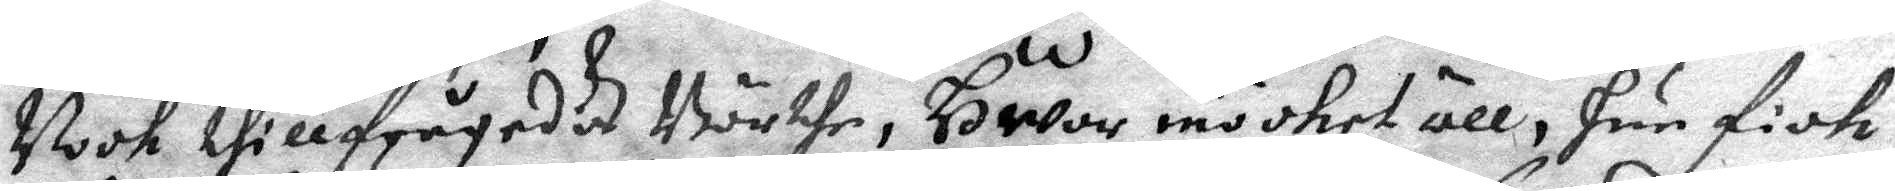Nook tillfrågades Börthe, Hwor möcket öll, hun fick
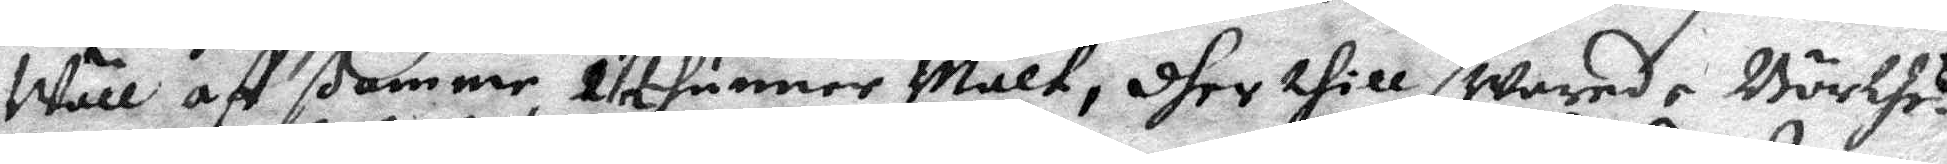Wäll aff samme 2 ½ tunner Malt, dher thill swarade Börthe ?
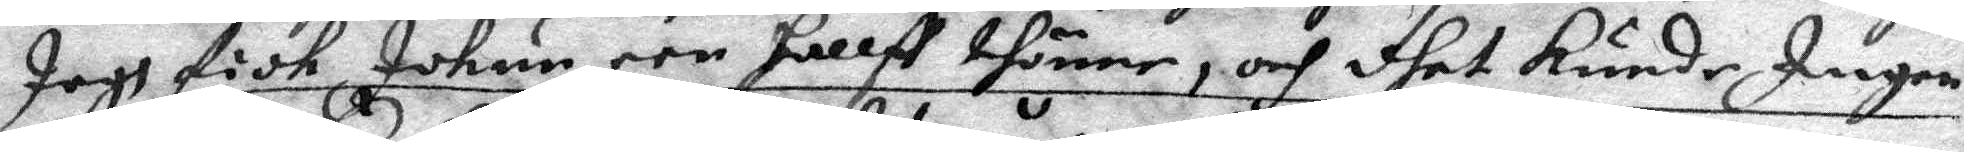Jagh fick Ickur een hallff thönne, och dhet kunde Ingen
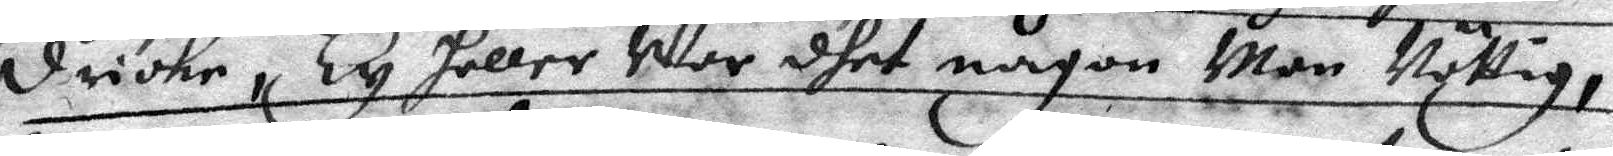dricke, Ty heller War dhet någon Man Nöttig,
